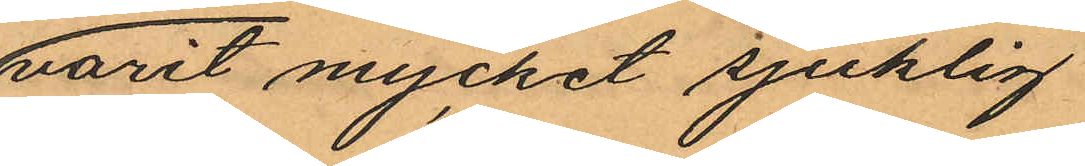varit mycket sjuklig
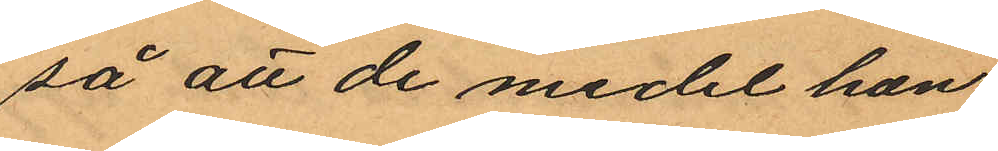så att de medel hon
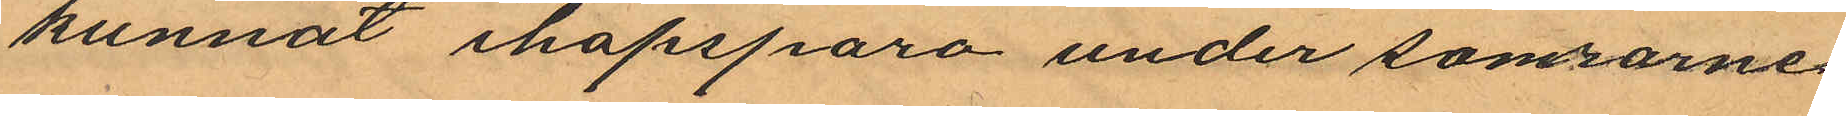kunnat ihopspara under somrarne
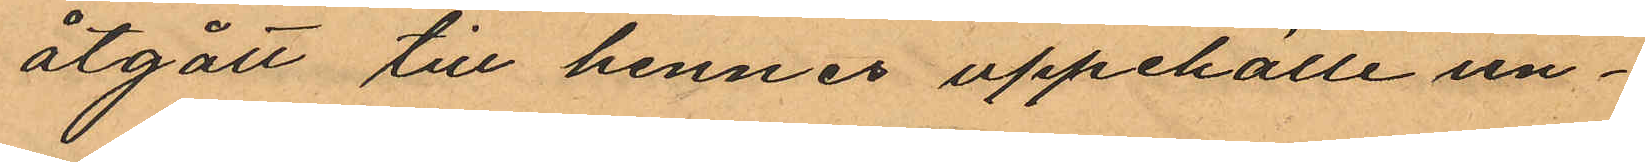åtgått till hennes uppehälle un¬
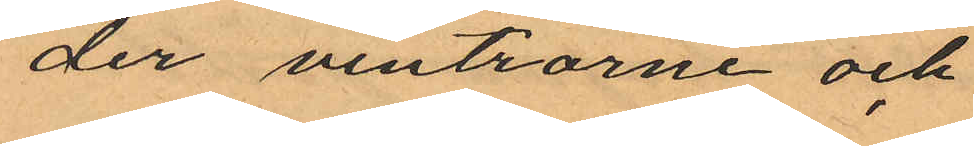der vintrarne och
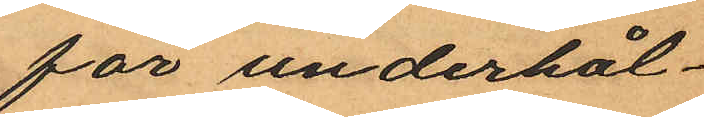för underhål¬
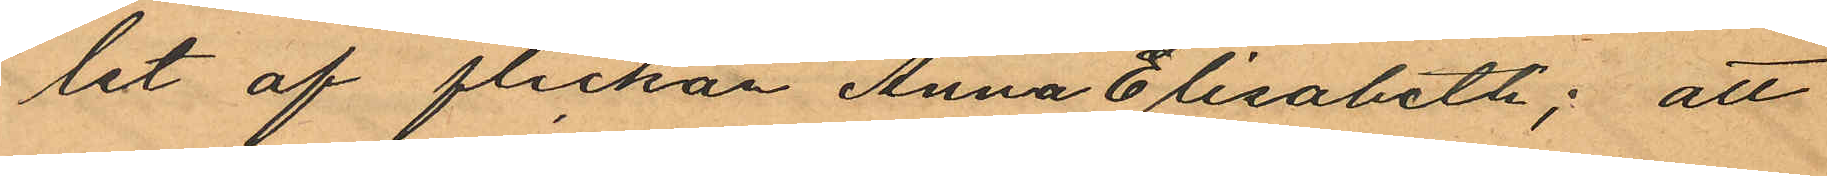let af flickan Anna Elisabeth; att
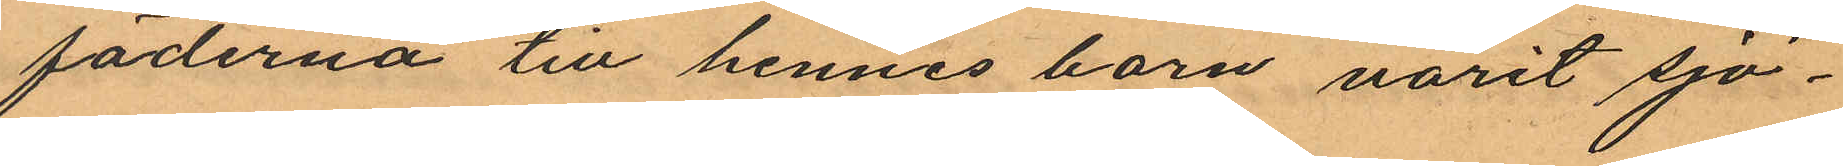fäderna till hennes barn varit sjö¬
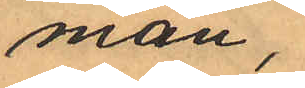män;
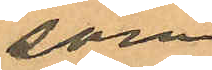som
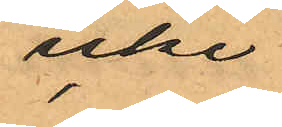icke
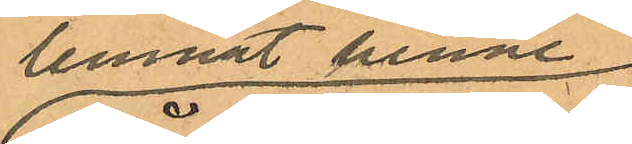lemnat henne
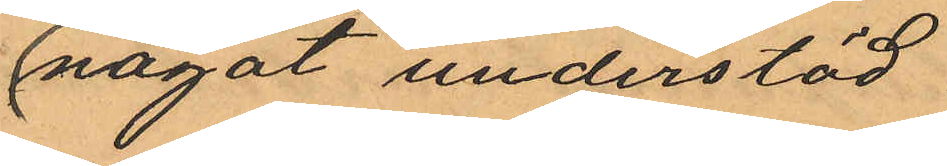något understöd
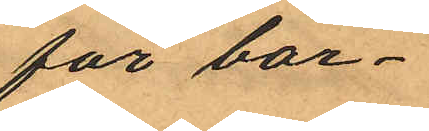för bar¬
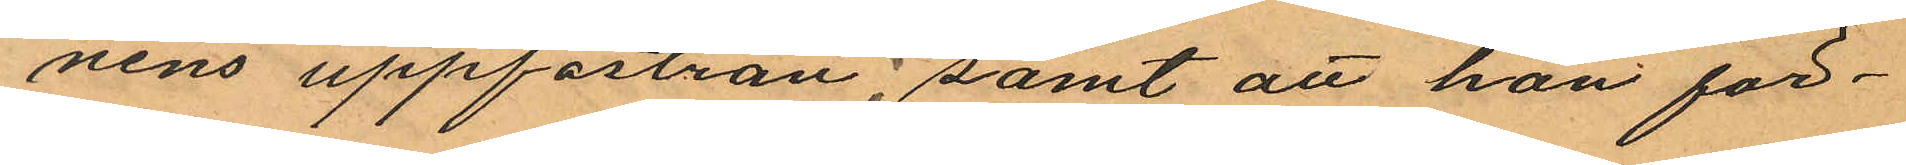nens uppfostran; samt att hon för¬
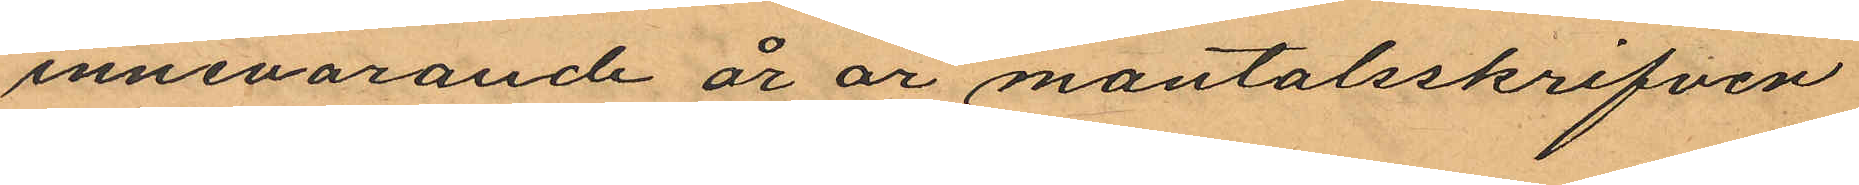innevarande år är mantalsskrifven
